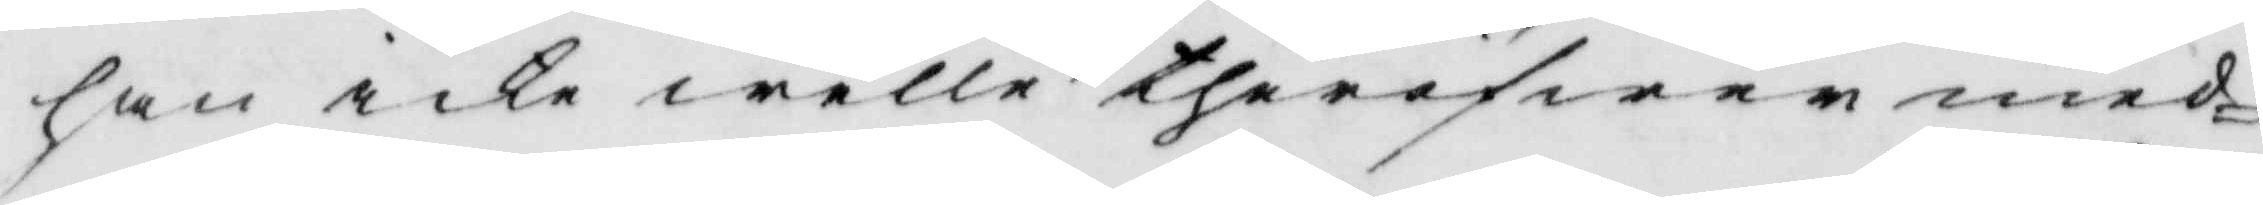han icke welle theröfwer med¬
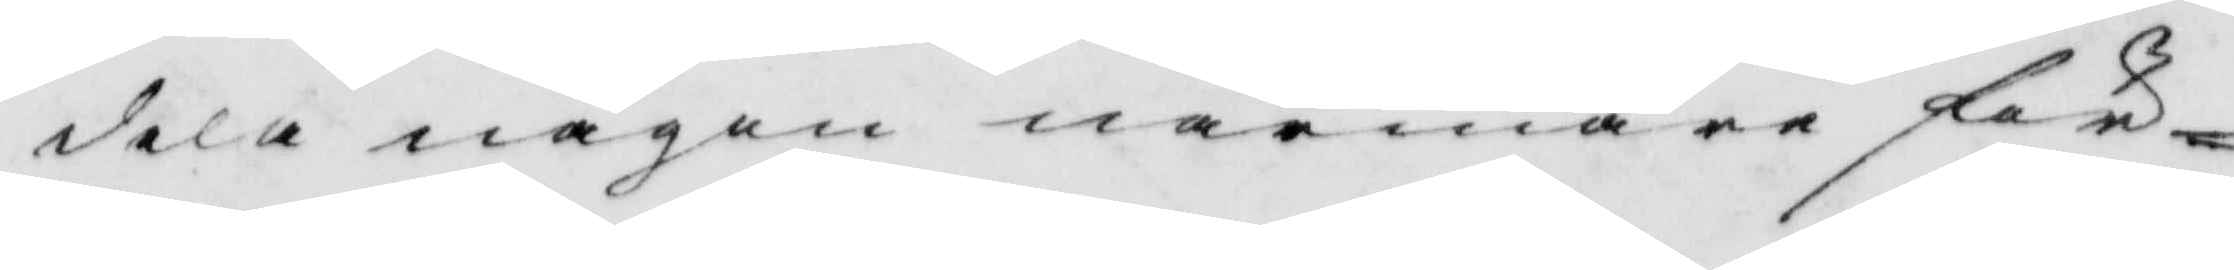dela någon närmare för¬
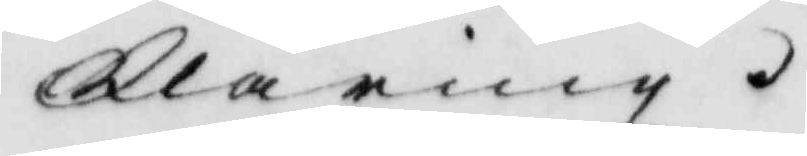klaring.
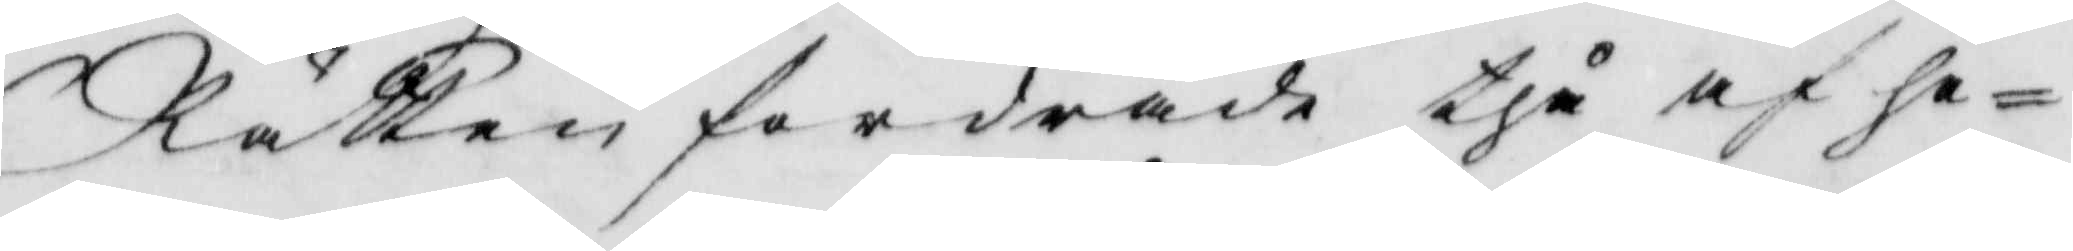Rätten fordrade thå af ho¬
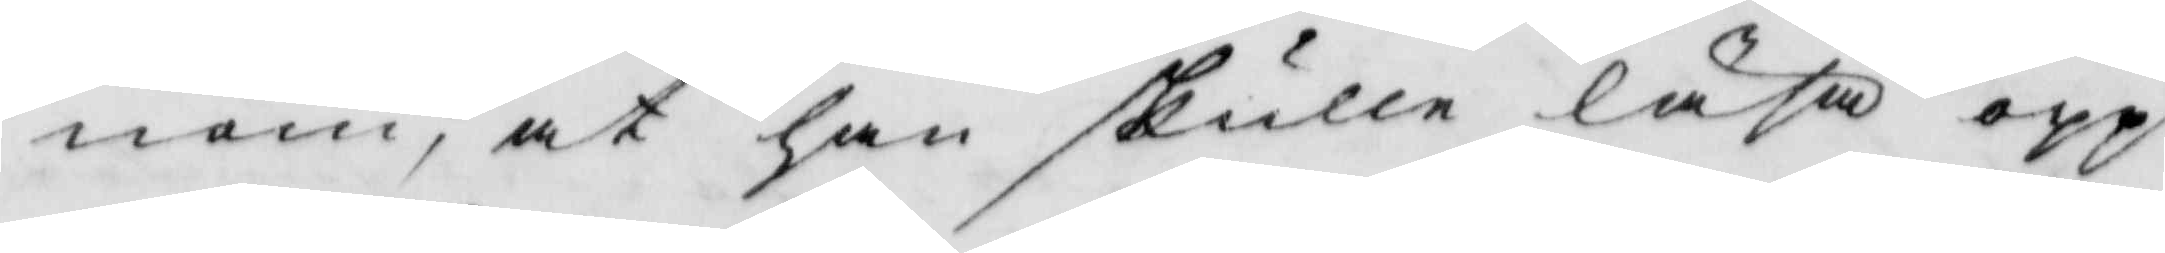nom, at han skulle läsa opp
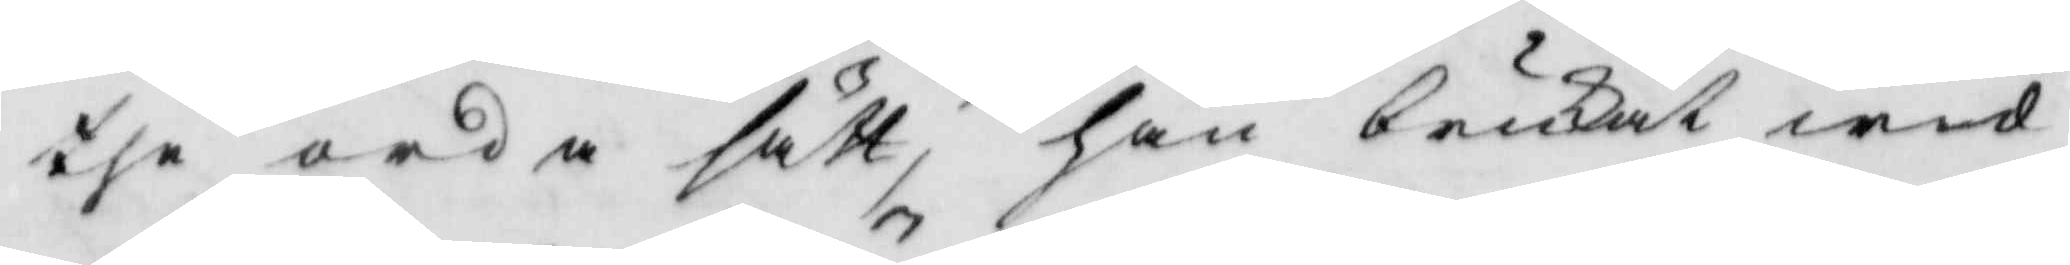the onda sätt, han brukat wid
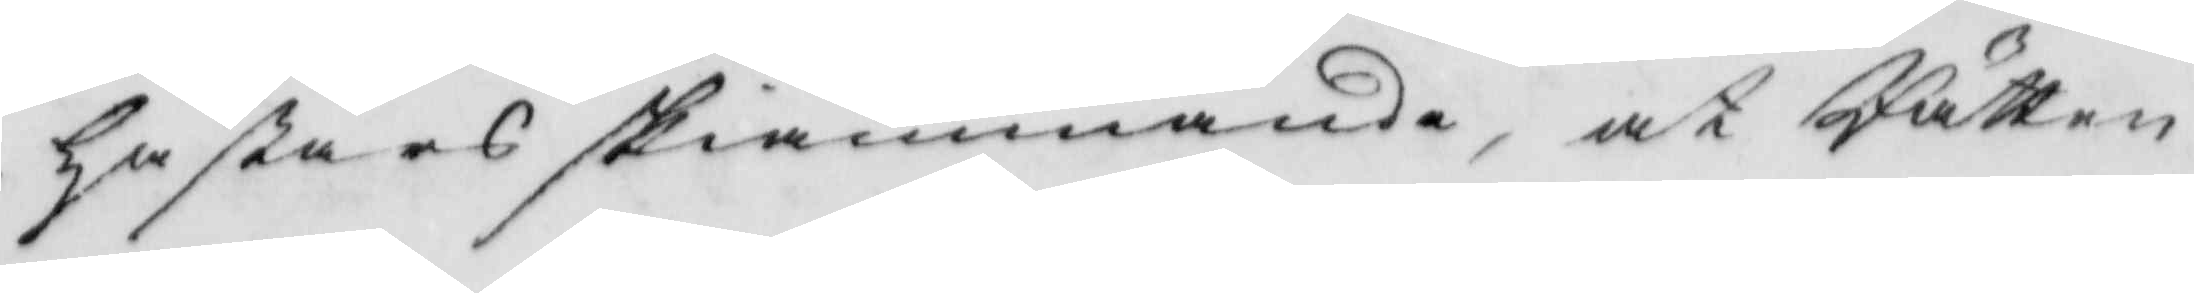hästars skiämmande, at Rätten
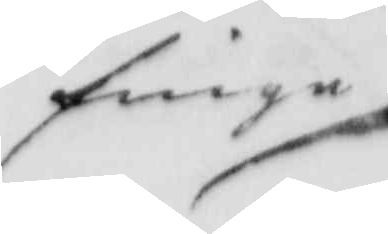finge
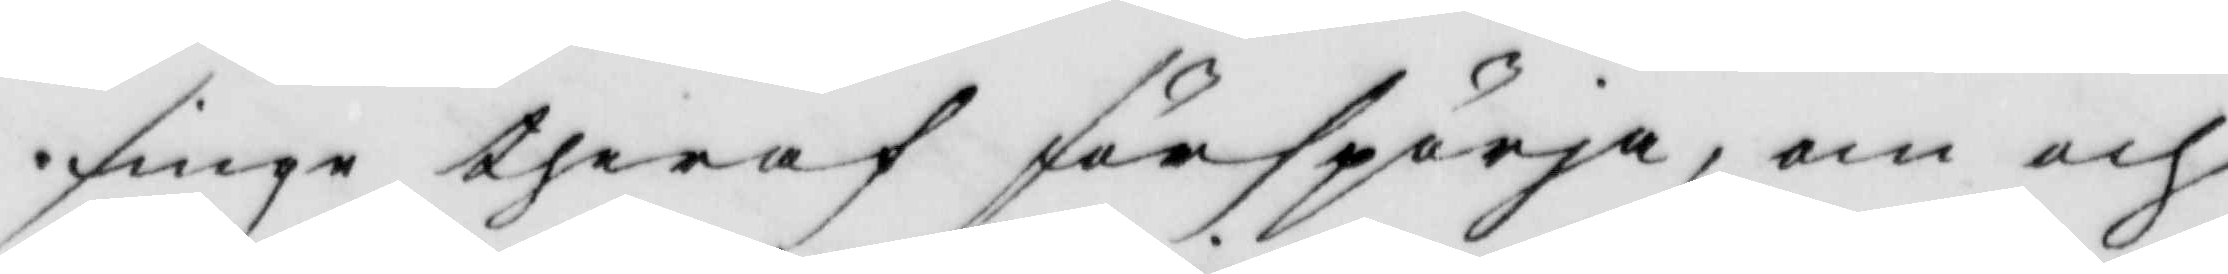finge theraf förspörja, om och
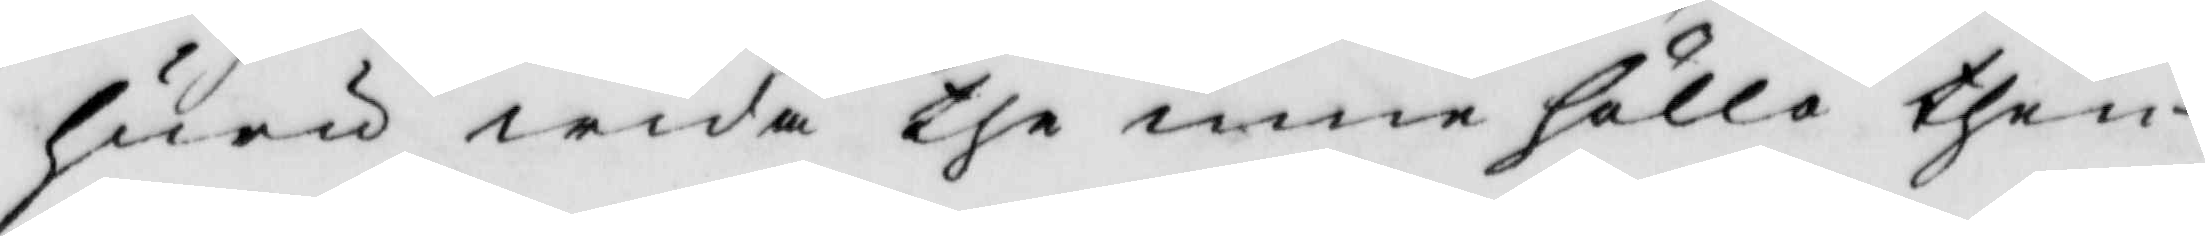huru wida the innehålla then
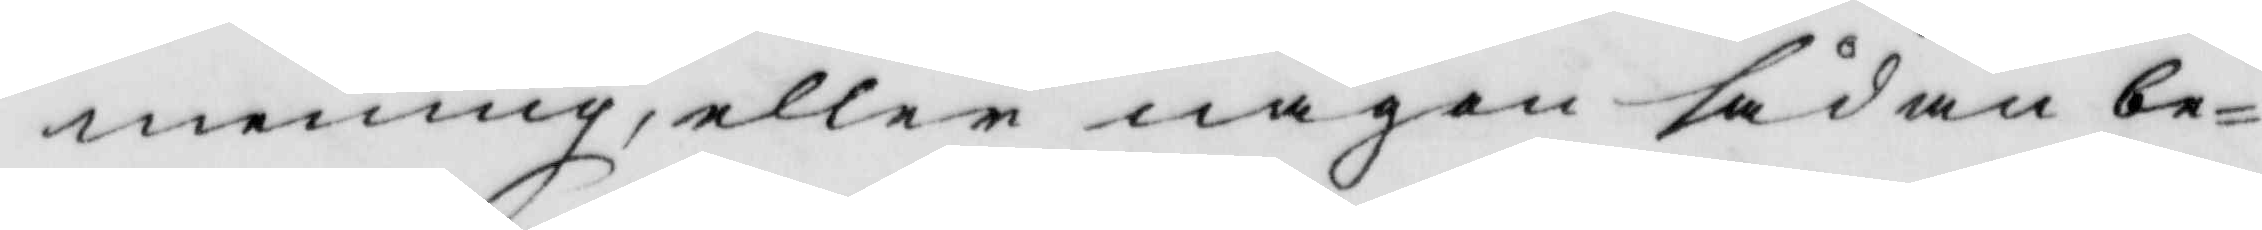mening, eller någon sådan be¬
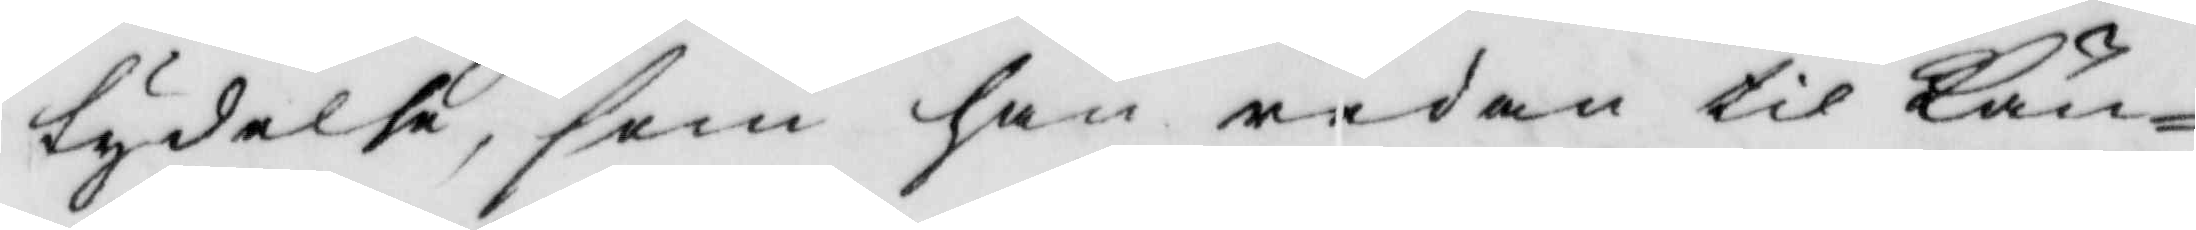tydelse, som han redan til Kän¬
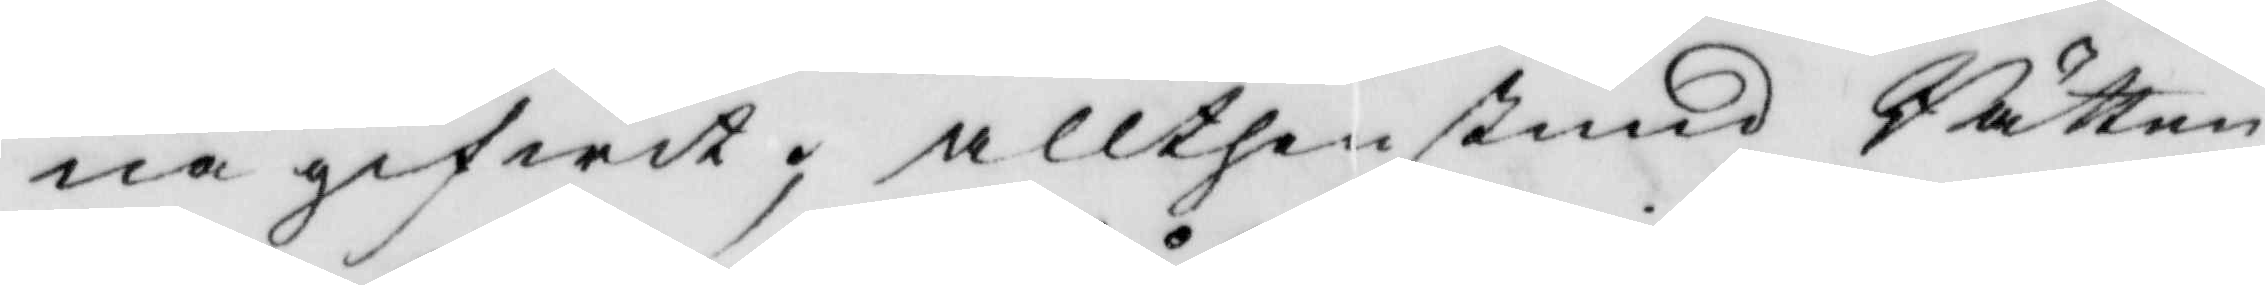na gifwit; allthenstund Rätten
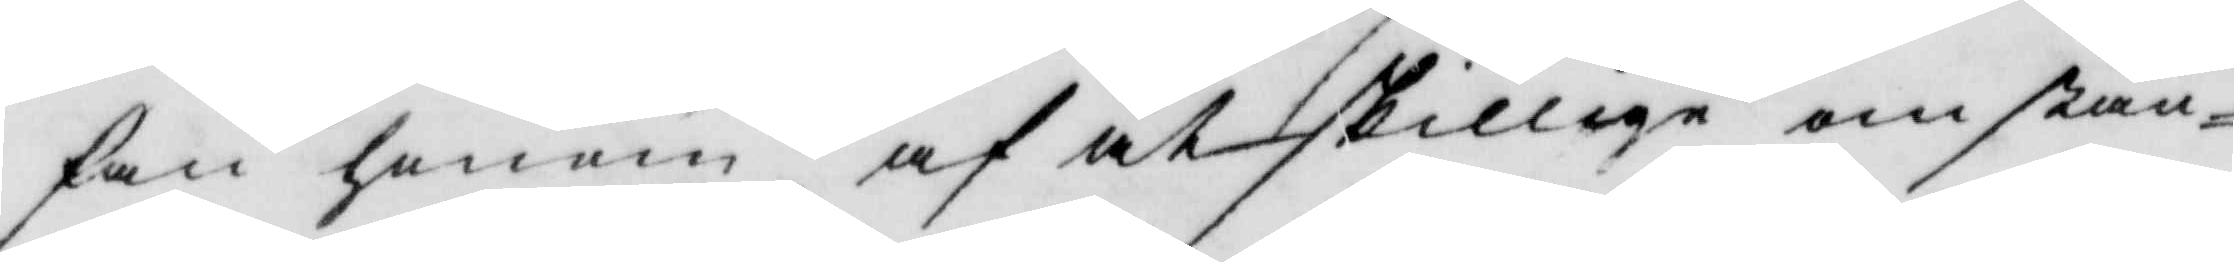fan honom af åtskilliga omstän¬
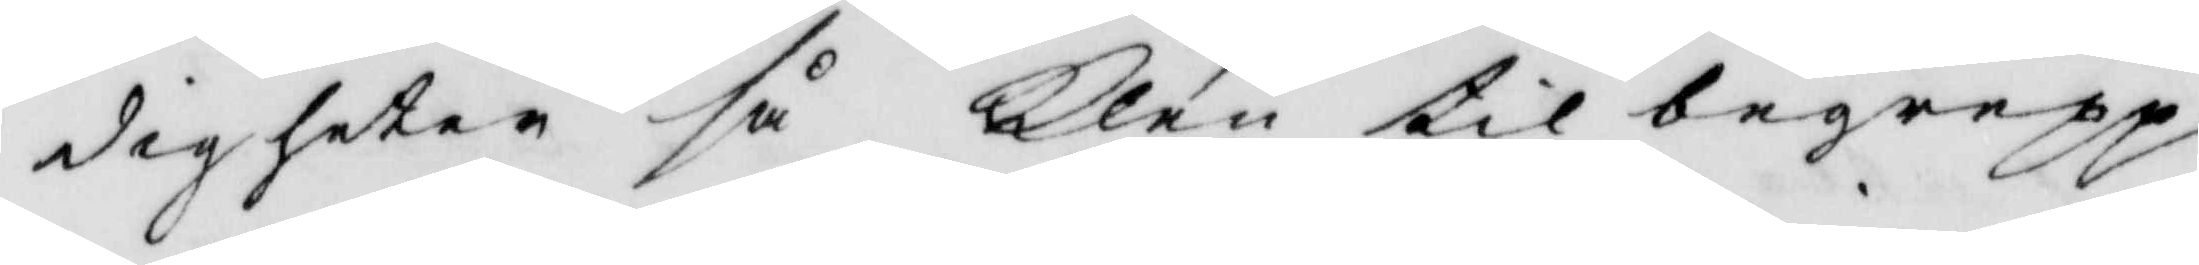digheter så klen til begrepp
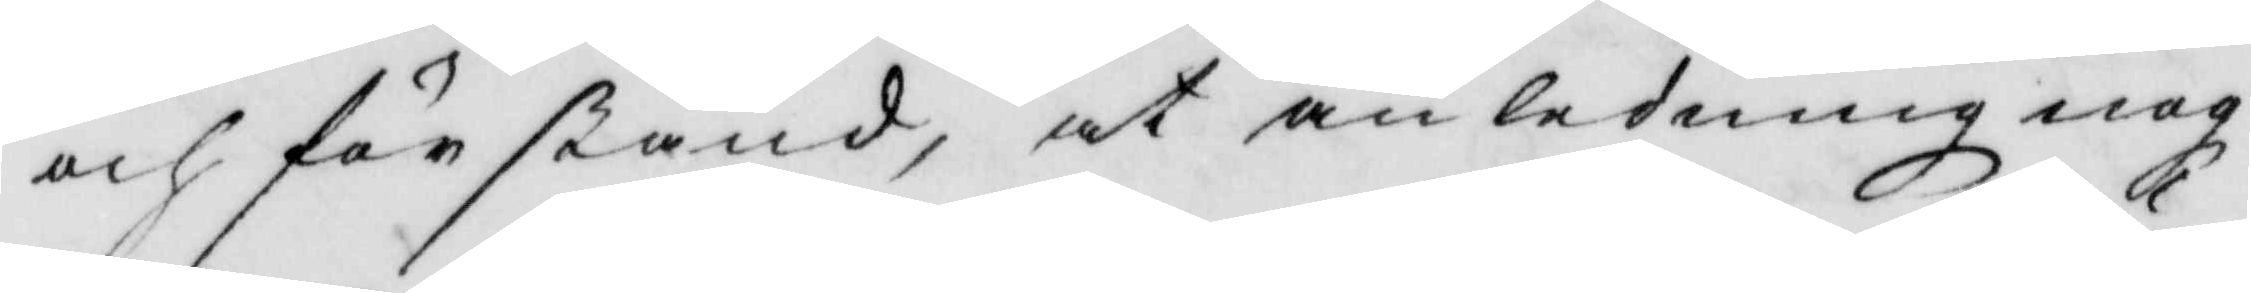och förstånd, at anledning nog
